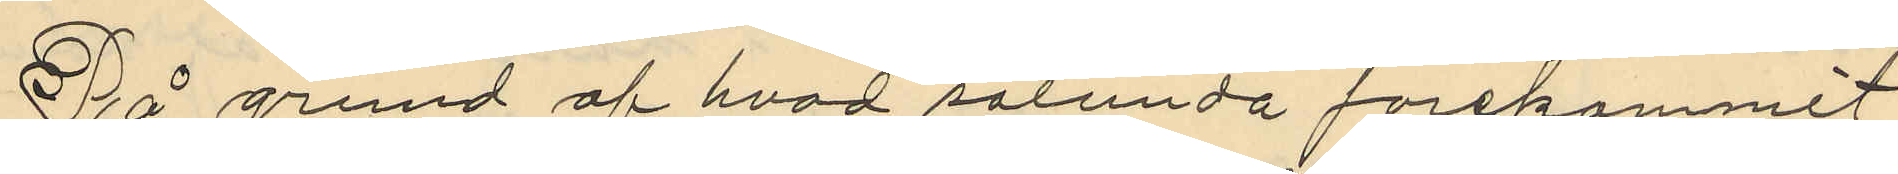På grund af hvad sålunda förekommit
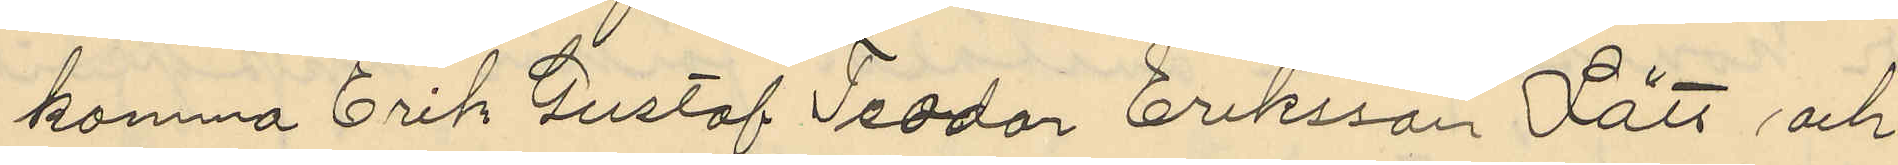komma Erik Gustaf Teodor Eriksson Lätt och
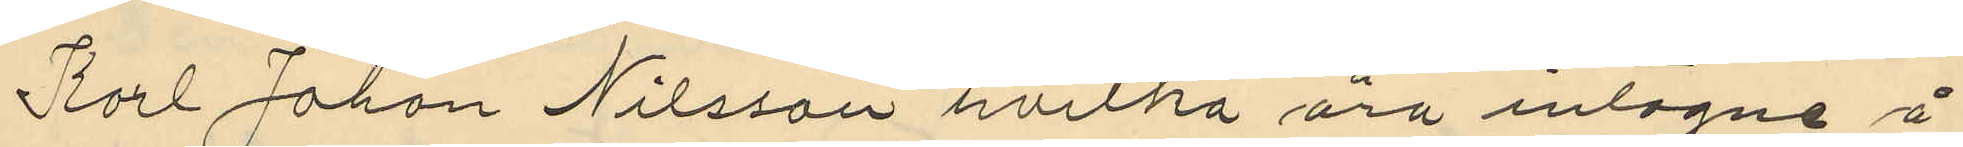Karl Johan Nilsson hvilka äro intagne å
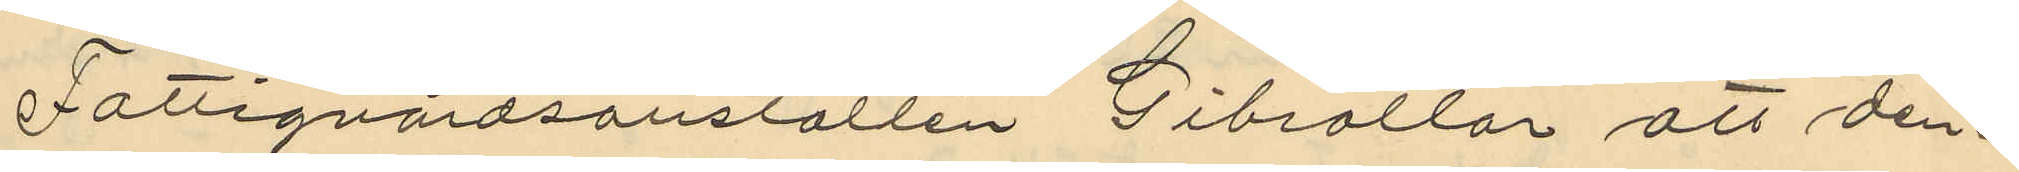Fattigvårdsanstalten Gibraltar att den¬
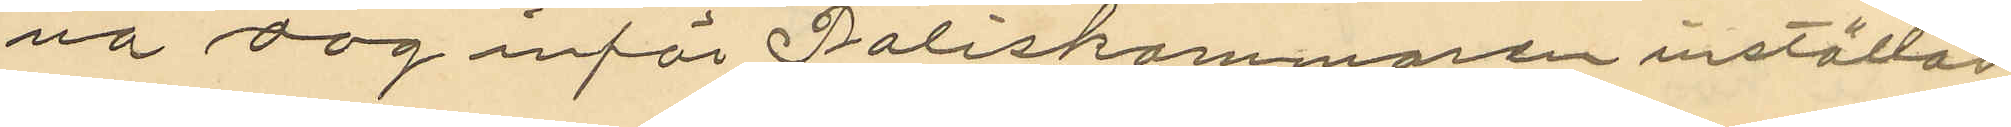na dag inför Poliskammaren inställas
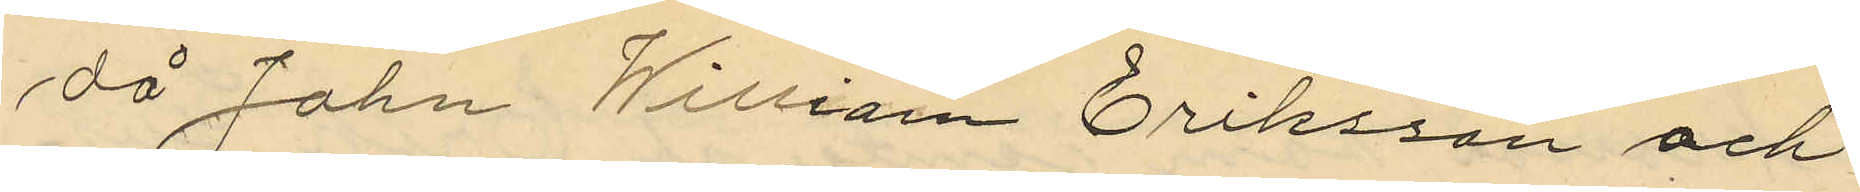då John William Eriksson och
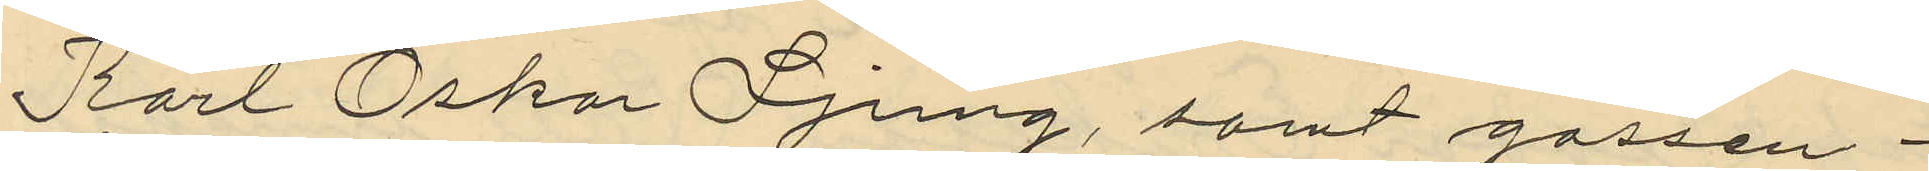Karl Oskar Ljung, samt gossen
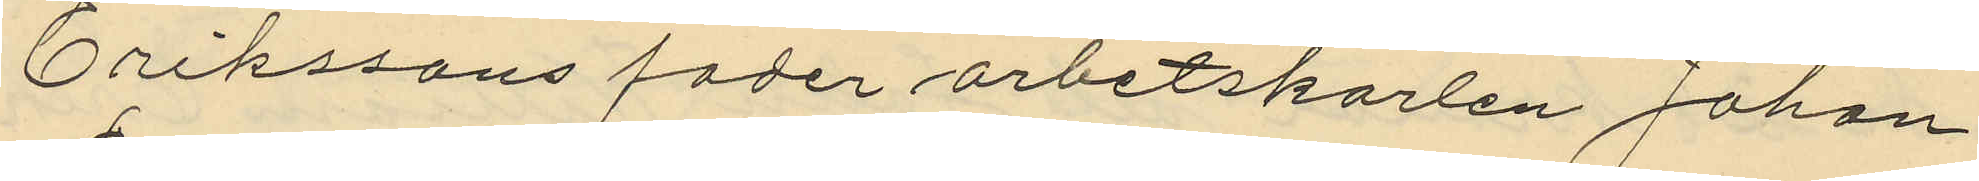Erikssons fader arbetskarlen Johan
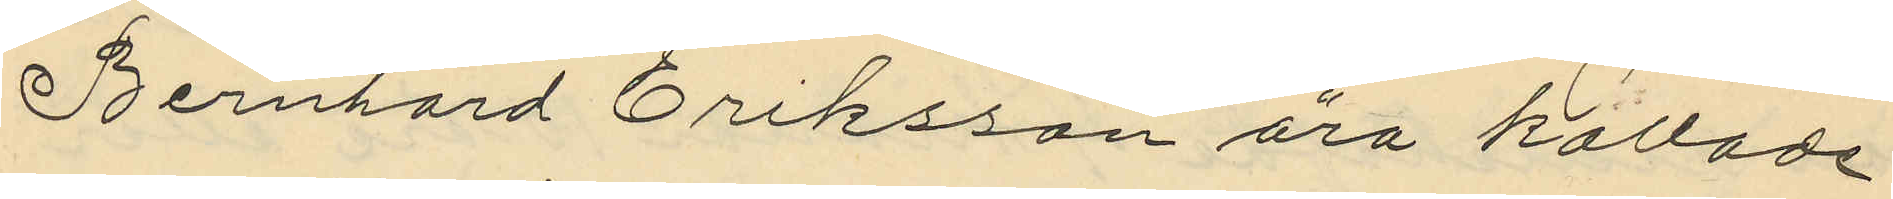Bernhard Eriksson ära kallade
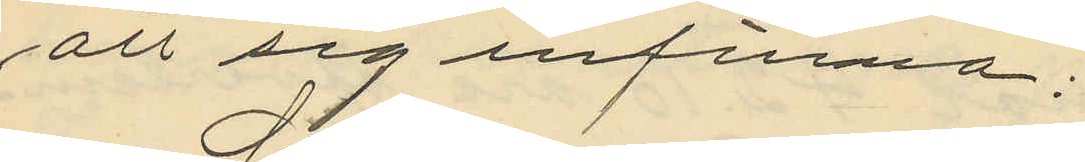att sig infinna;
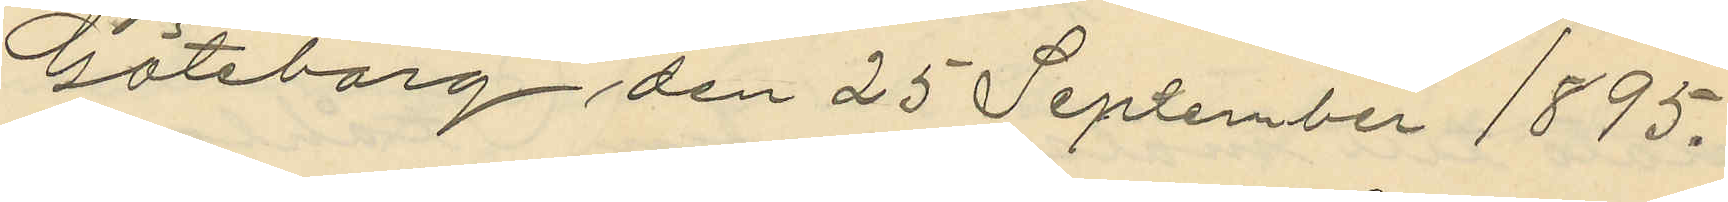Göteborg den 25 September 1895.
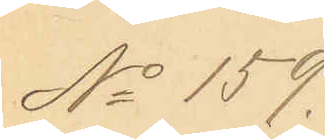No 159.
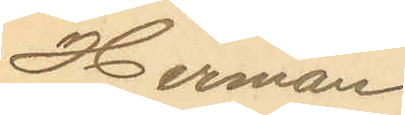Herman
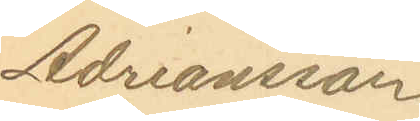Adrianusson
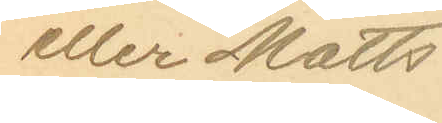eller Matts
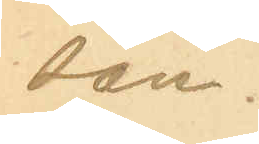son.
